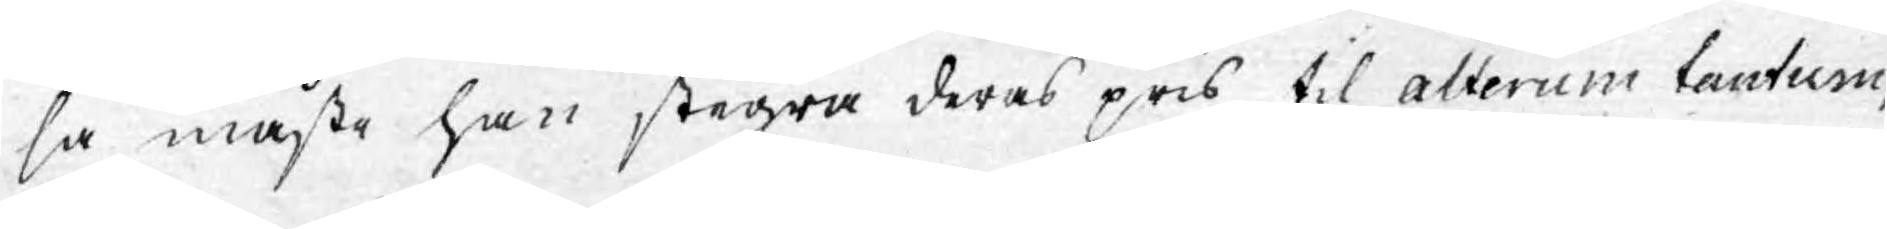så måste han stegra deras pris til alterum tantum,
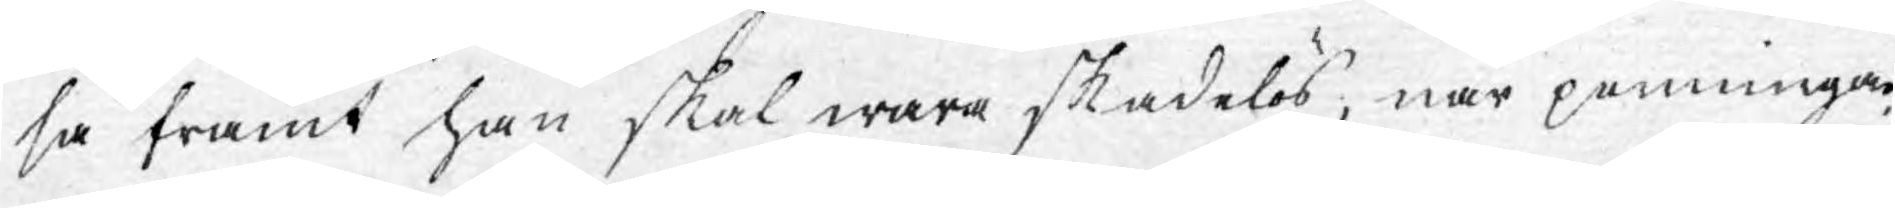så framt han skal wara skadelös, när penningar¬
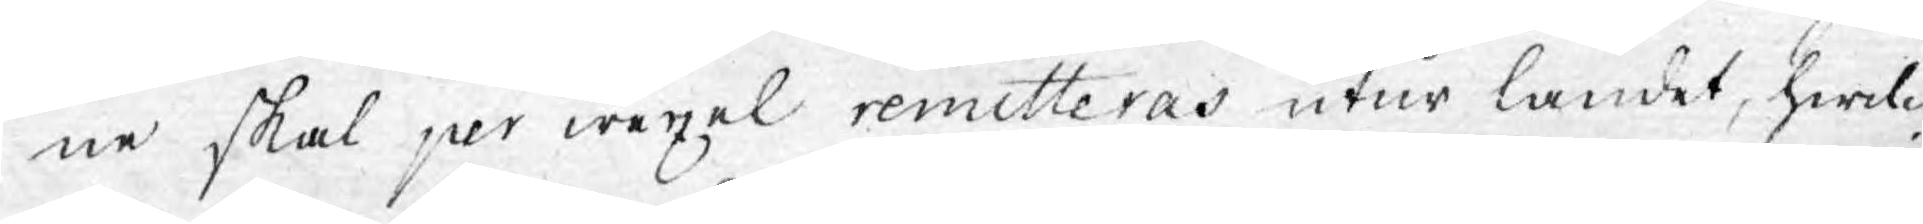ne skal per wexel remitteras utur landet, hwilc¬
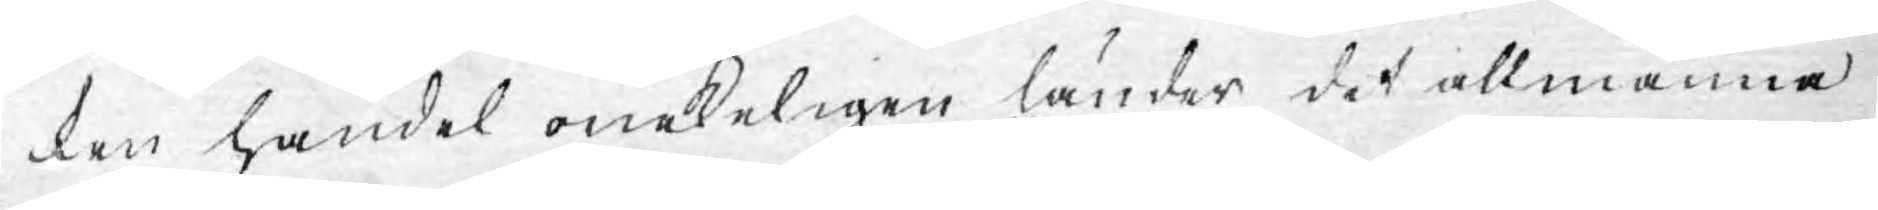ken handel onekeligen länder det allmänna
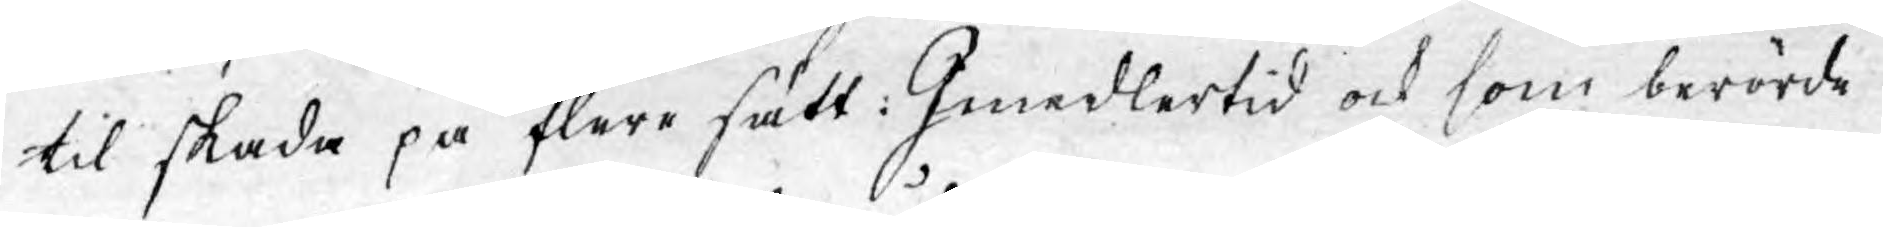til skada på flere sätt. Imedlertid ock som berörde
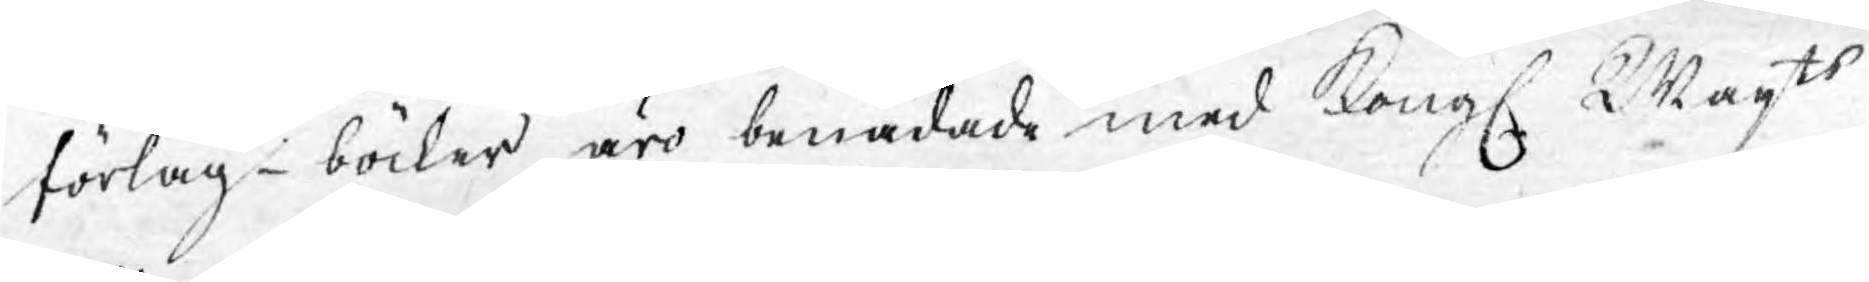förlag-böcker äro benådade med Kongl. Majts
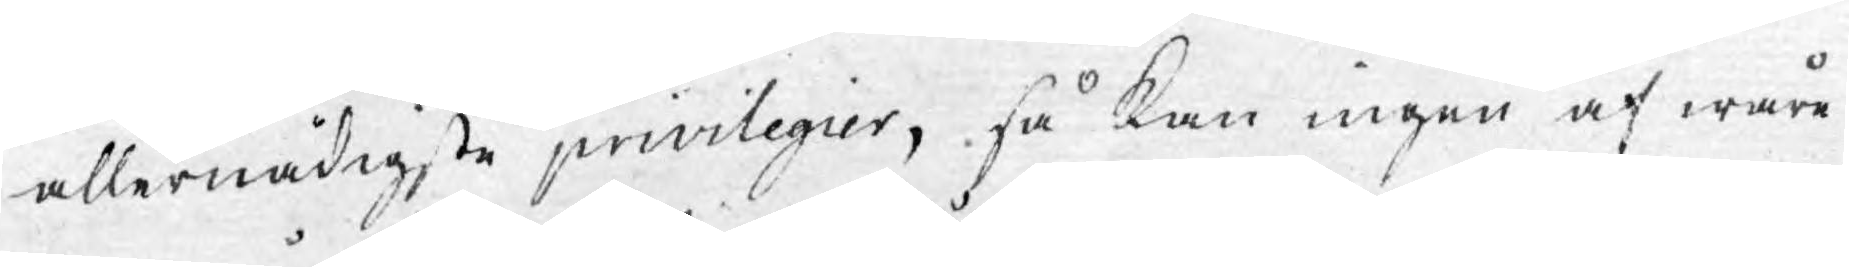allernådigste privilegier, så kan ingen af wåre
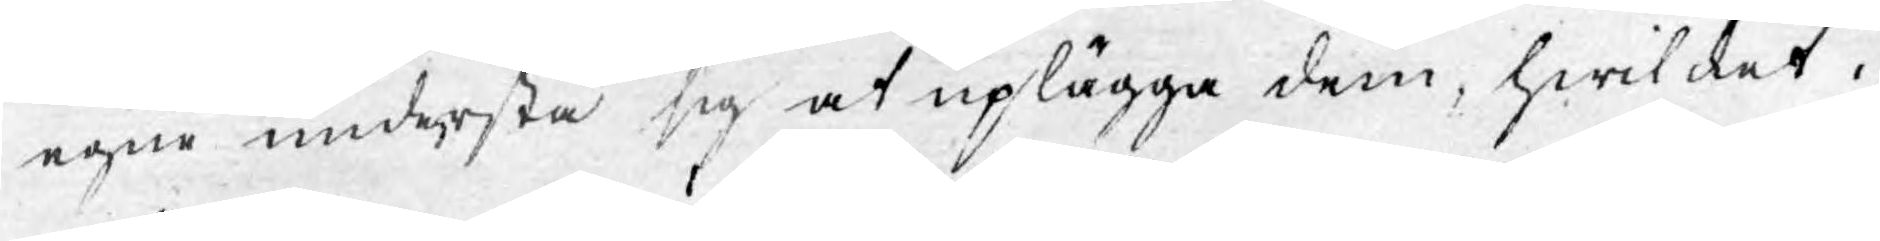egne understå sig at uplägga dem, hwilket i
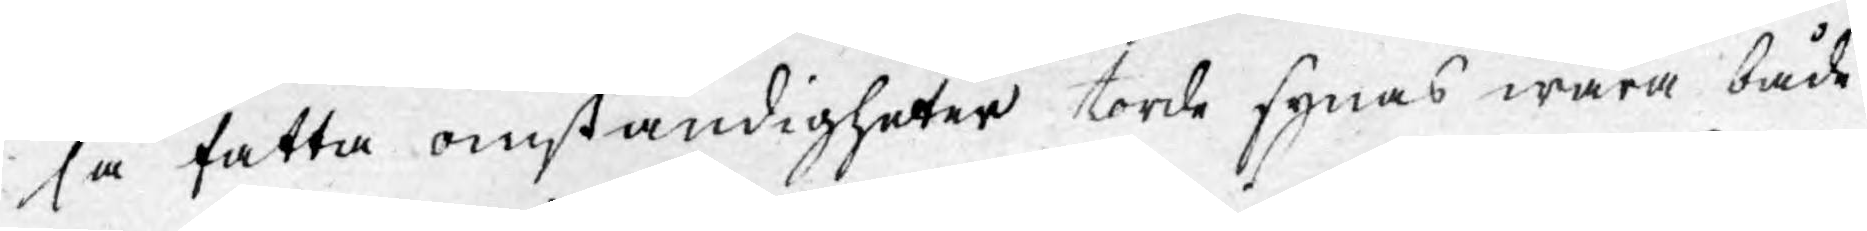så satta omständigheter torde synas wara både
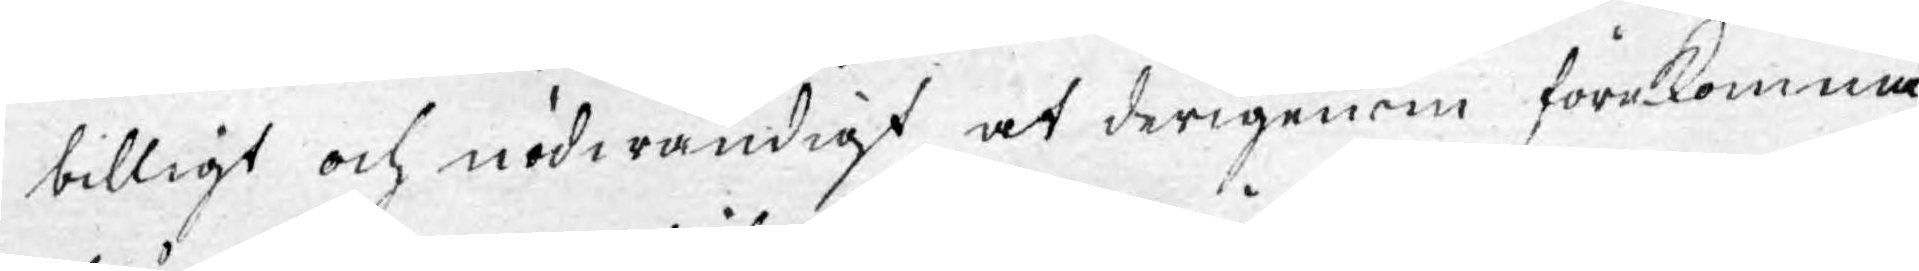billigt och nödwändigt, at derigenom förekomma
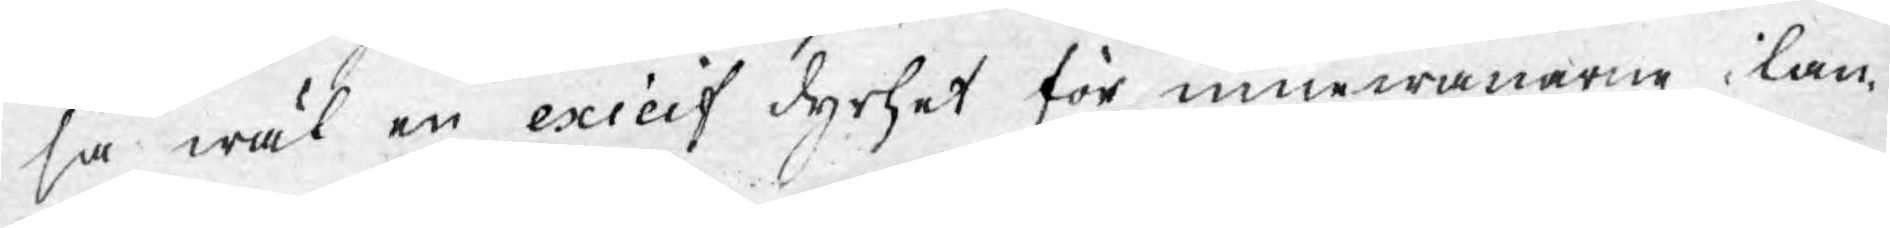såwäl en exicif dyrhet för innewånarne i lan¬
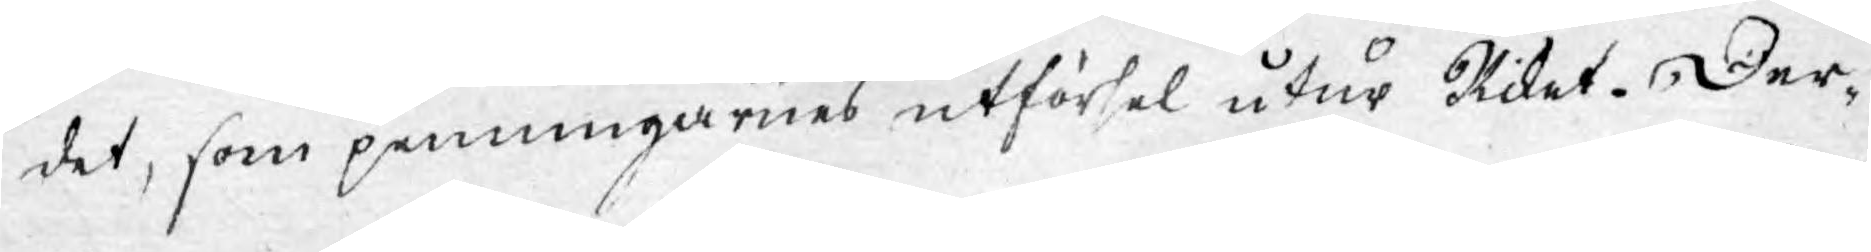det, som penningarnes utförsel utur Riket. Der¬
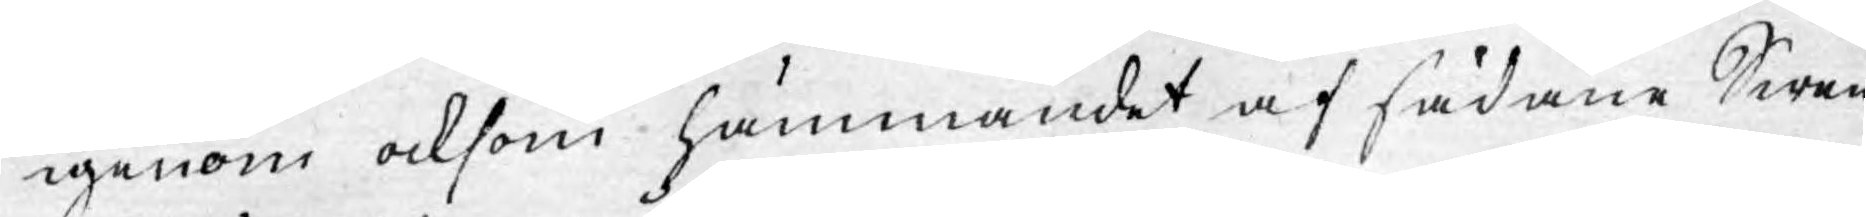igenom äfwen hämmandet af sådane Swen¬
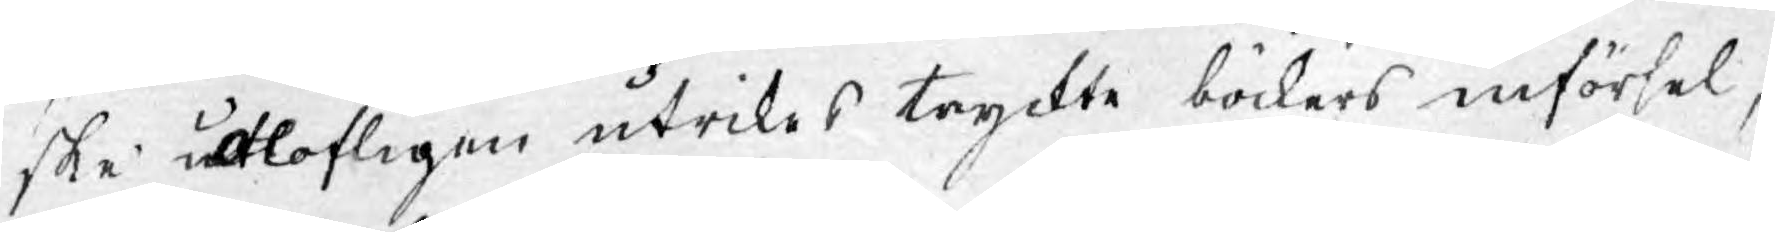ske olofligen utrikes tryckte böckers införsel,
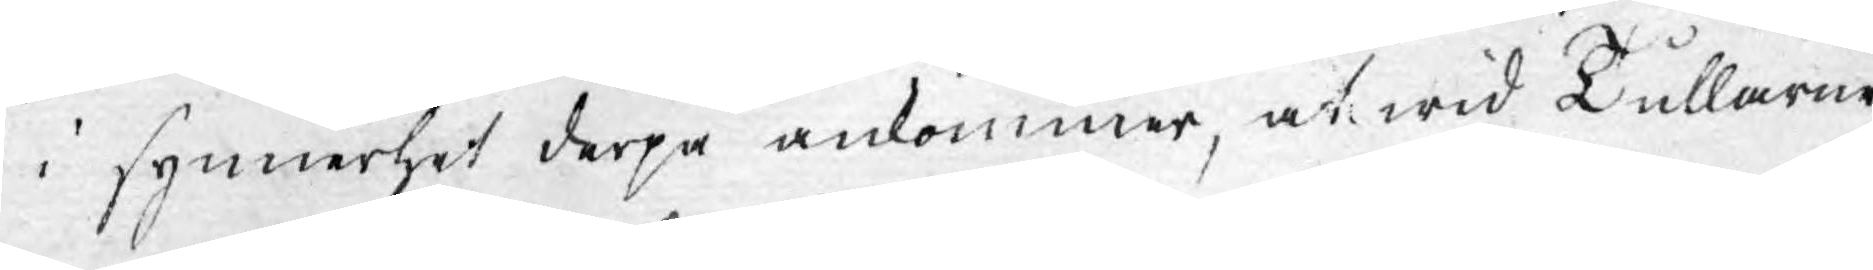i synnerhet derpå ankommer, at wid Tullarne
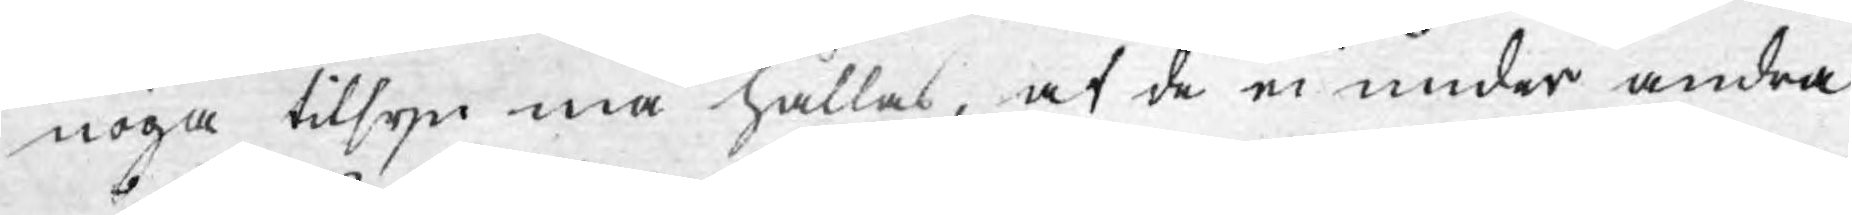noga tilsyn må hållas, at de ei under andra
